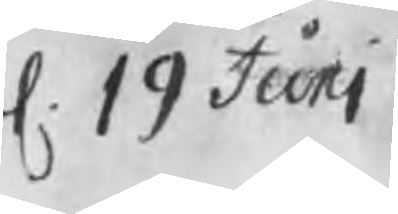d. 19 Juni
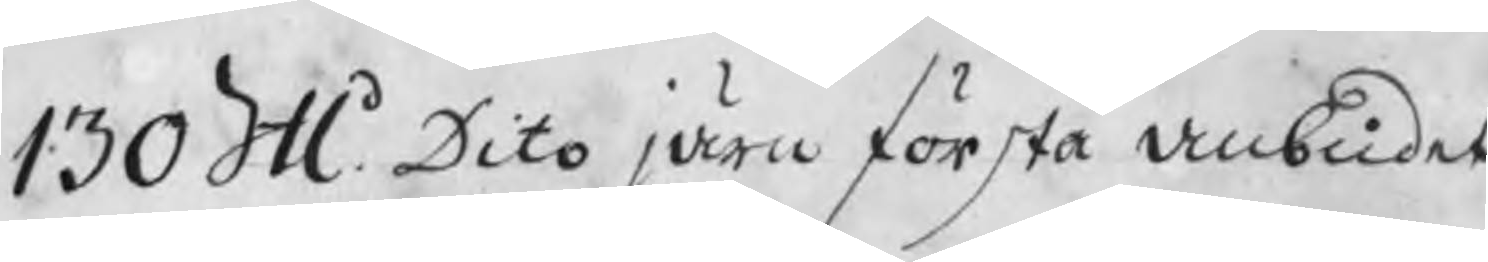130 Skl Dito järn första anbudet
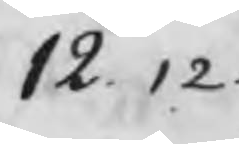12. 12.
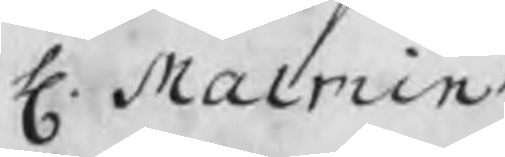H. Malmin
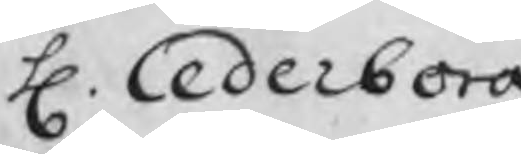H. Cederborg
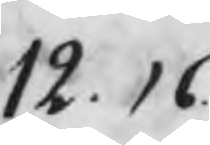12. 16.
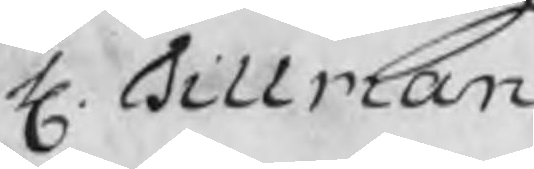H. Tillman
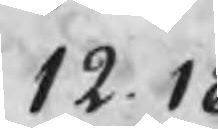12. 18
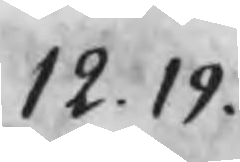12. 19.
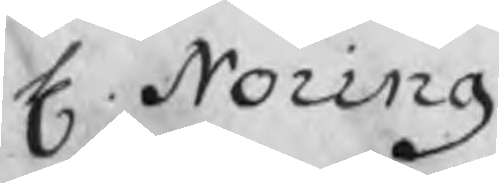H. Noring
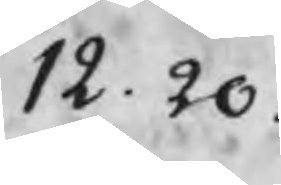12. 20.
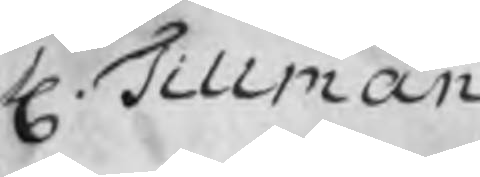H. Tillman
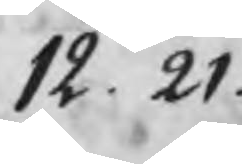12. 21.
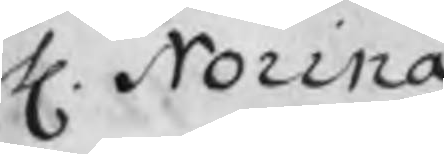H. Noring
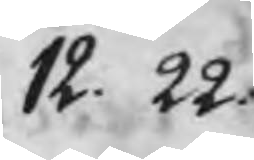12. 22.
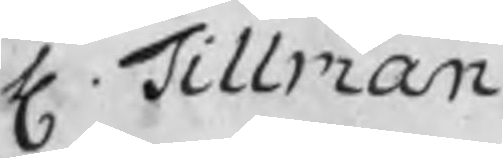H. Tillman
